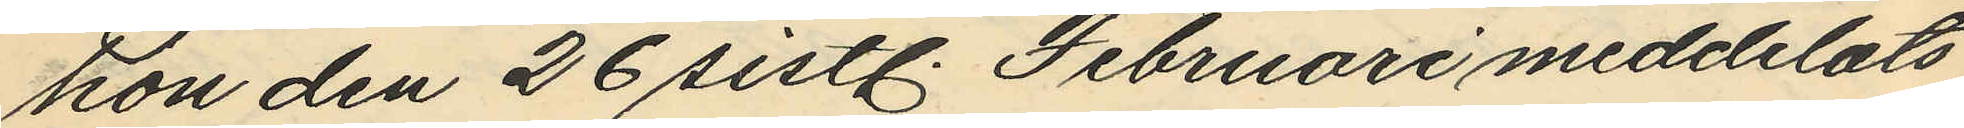hon den 26 sistl. Februari meddelats
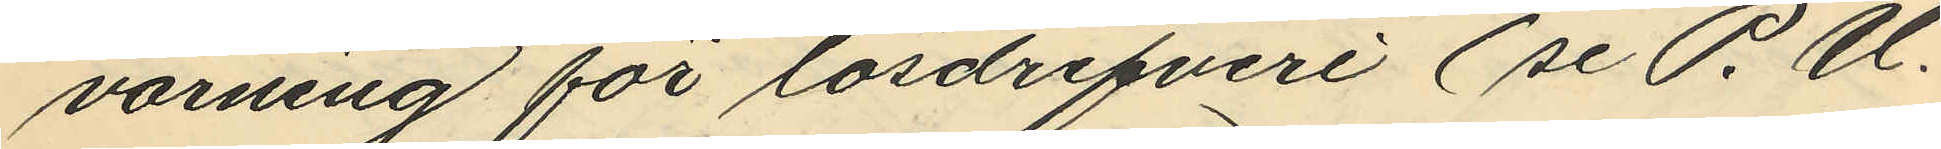varning för lösdrifveri (se P.U.
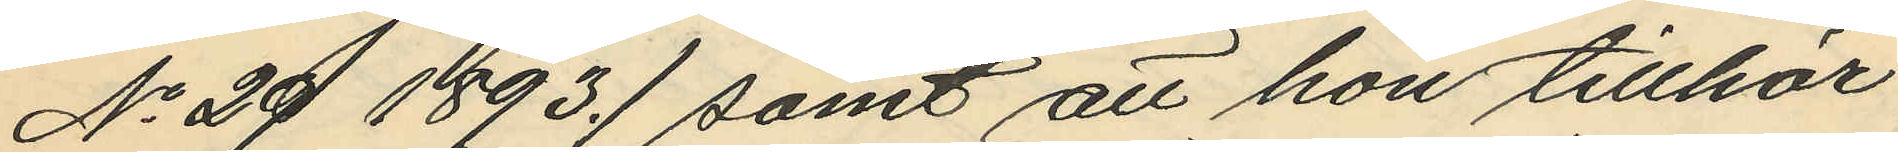No 29 1893.) samt att hon tillhör
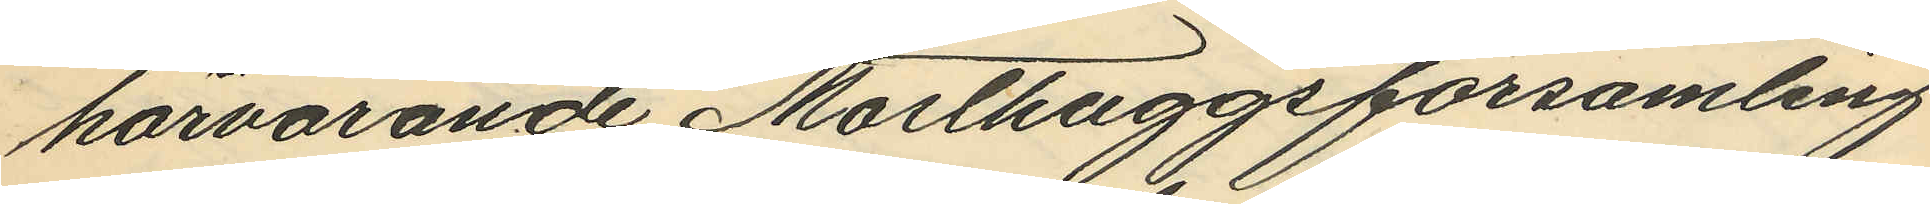härvarande Masthuggsförsamling
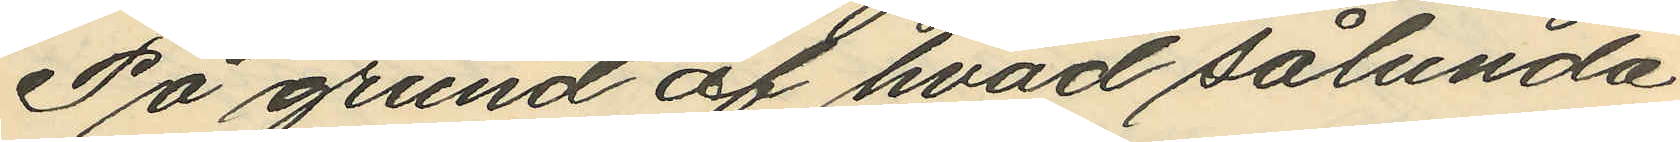På grund af hvad sålunda
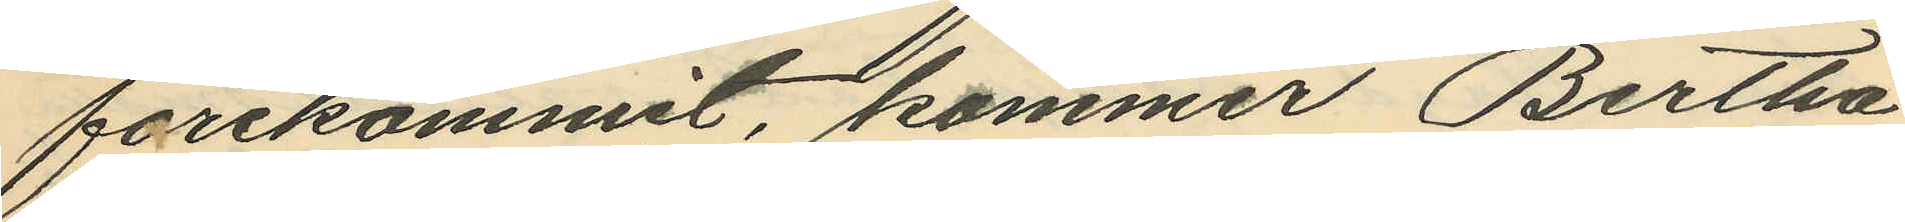förekommit, kommer Bertha
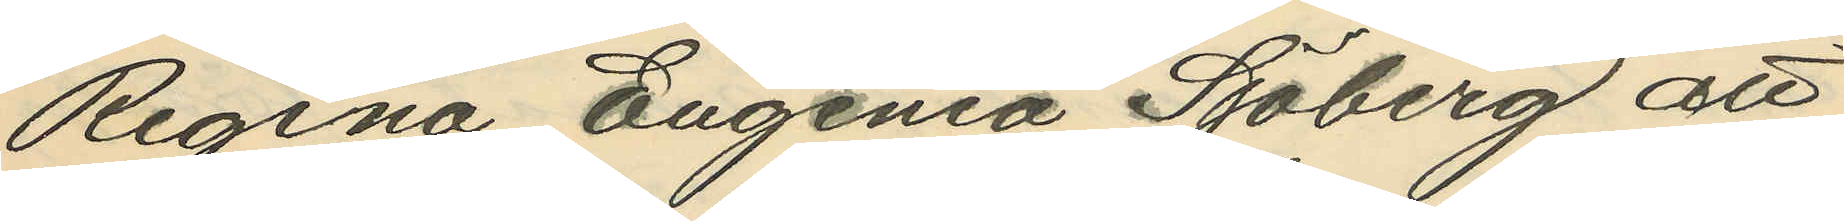Regina Eugenia Sjoberg att
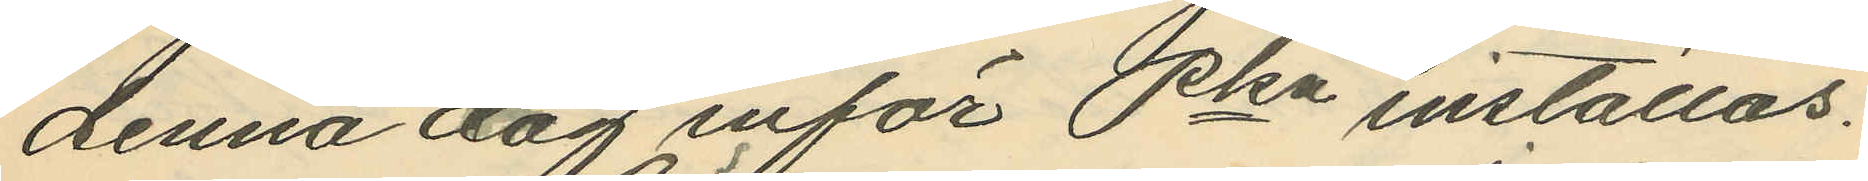denna dag inför Pkn inställas.
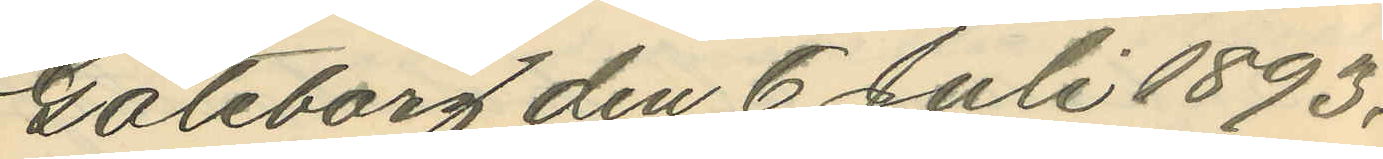Göteborg den 6 Juli 1893.
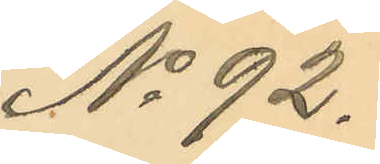No 92.
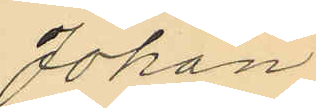Johan
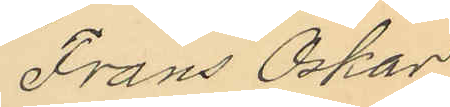Frans Oskar
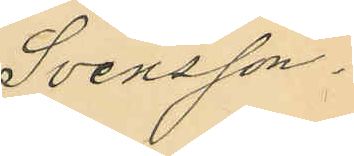Svensson.
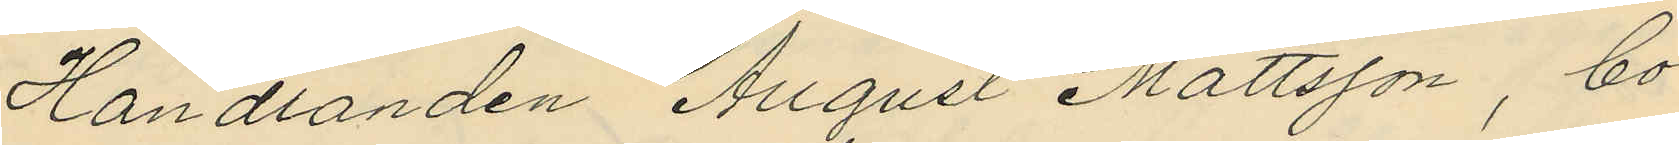Handlanden August Mattsson, bo¬
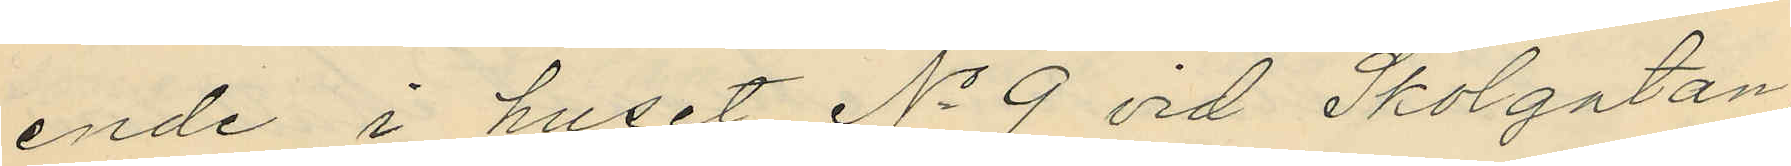ende i huset No 9 vid Skolgatan,
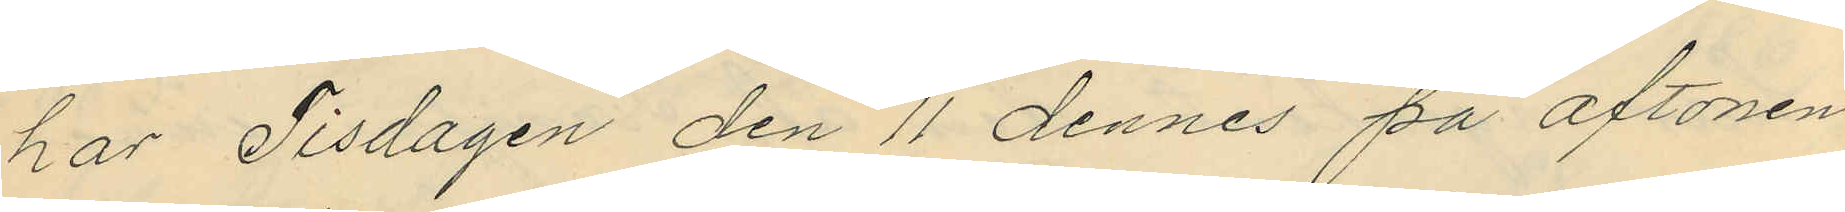har Tisdagen den 11 dennes på aftonen
